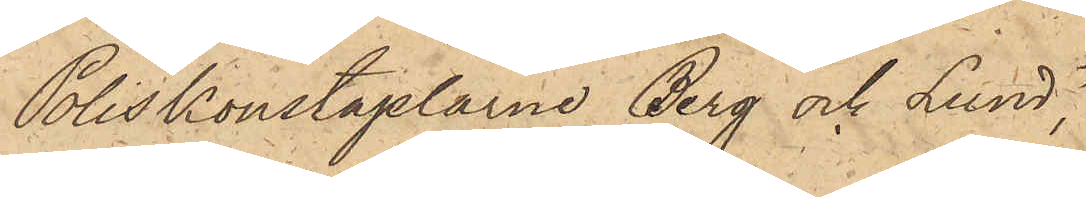Poliskonstaplarne Berg och Lund,
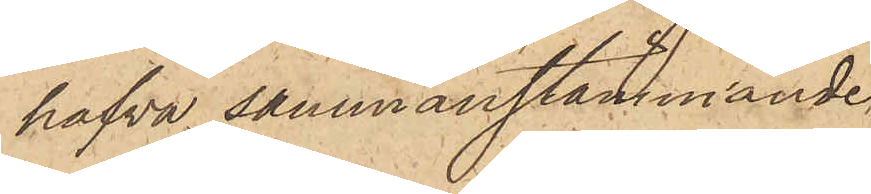hafva sammanstämmande
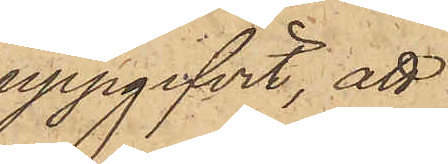uppgifvit, att
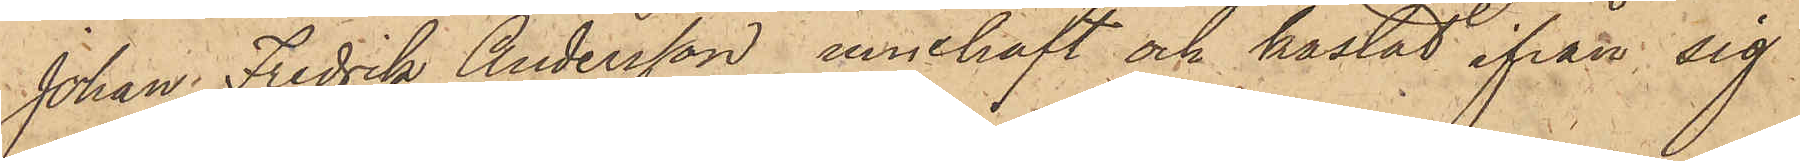Johan Fredrik Andersson innehaft och kastat ifrån sig
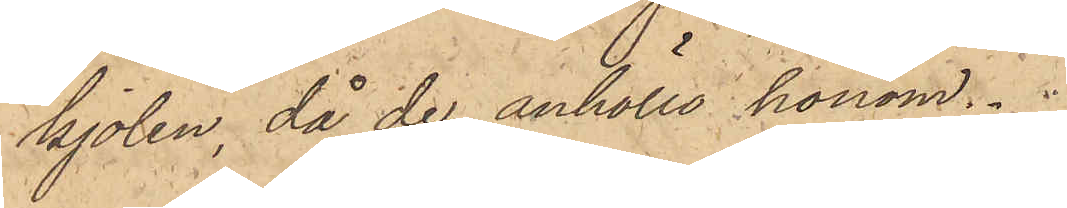kjolen, då de anhöllo honom.
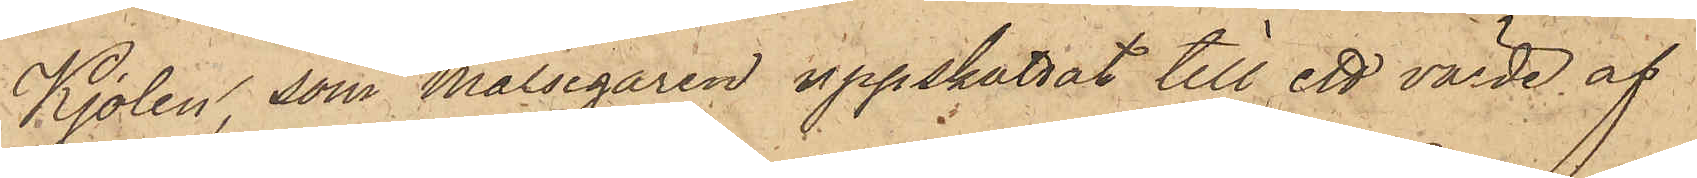Kjolen, som målsegaren uppskattat till ett värde af
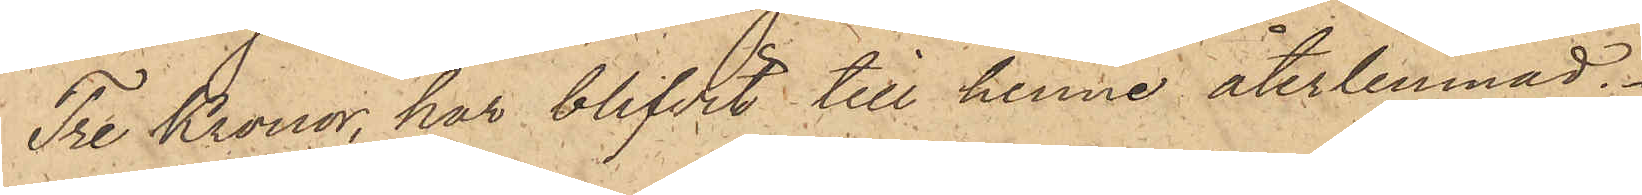Tre Kronor, har blifvit till henne återlemnad.
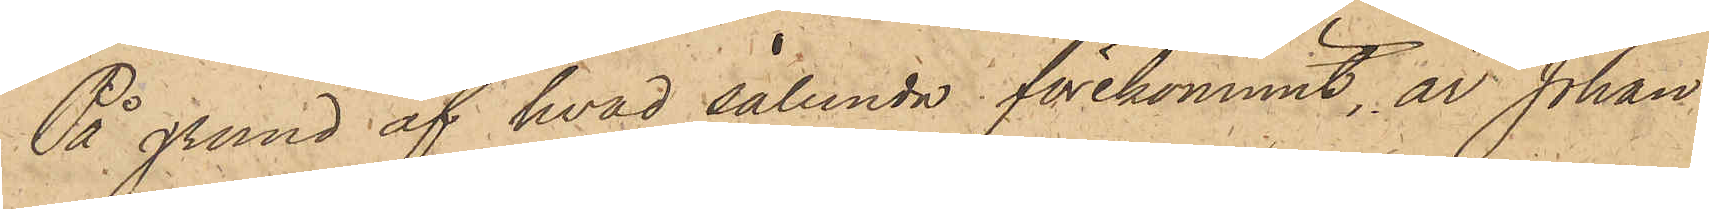På grund af hvad sålunda förekommit, är Johan
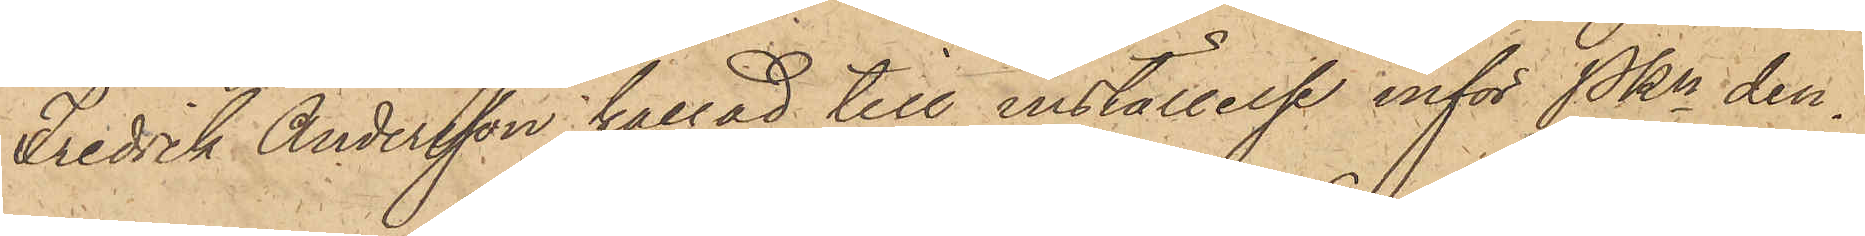Fredrik Andersson kallad till inställelse inför Pkn den¬
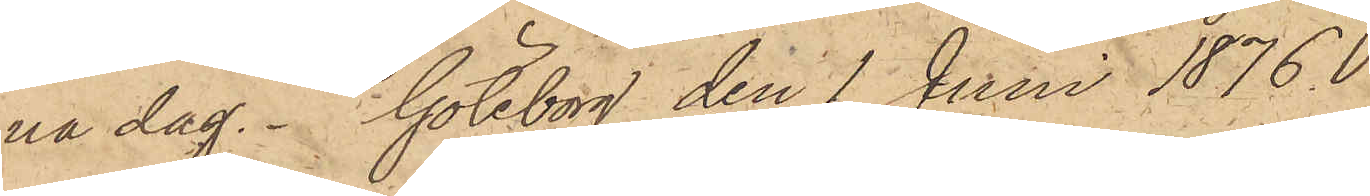na dag. Göteborg den 1 Juni 1876
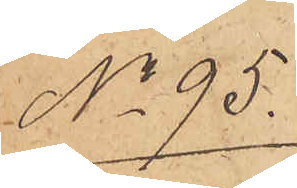No 95.
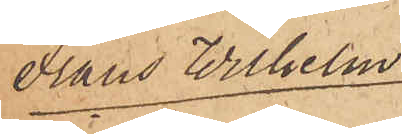Frans Wilhelm
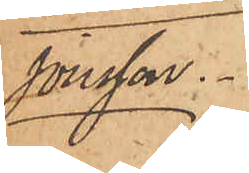Jonsson
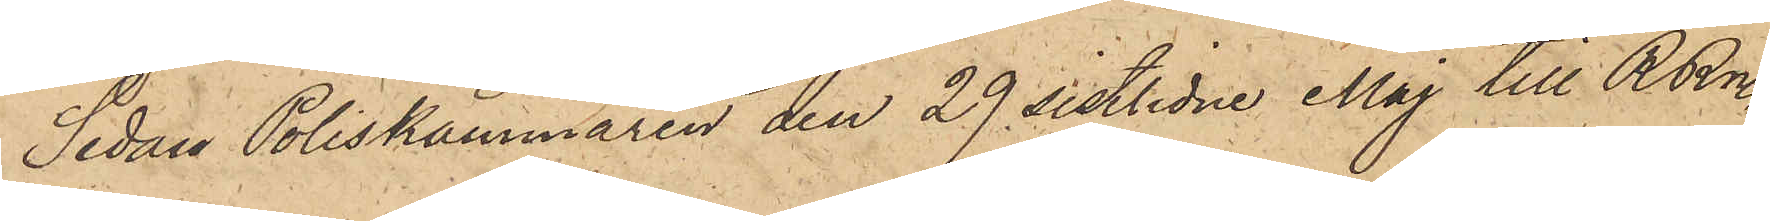Sedan Poliskammaren den 29 sistlidne Maj till RRn
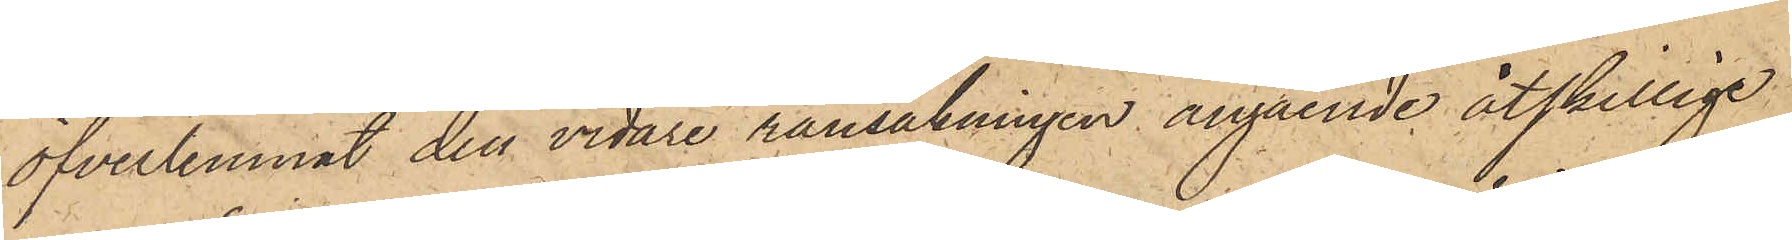öfverlemnat den vidare ransakningen angående åtskillige
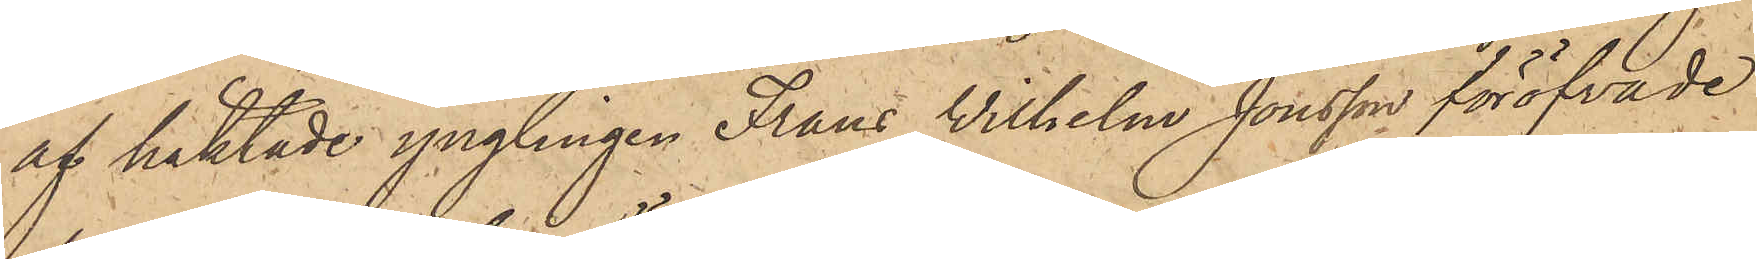af häktade ynglingen Frans Wilhelm Jonsson föröfvade
